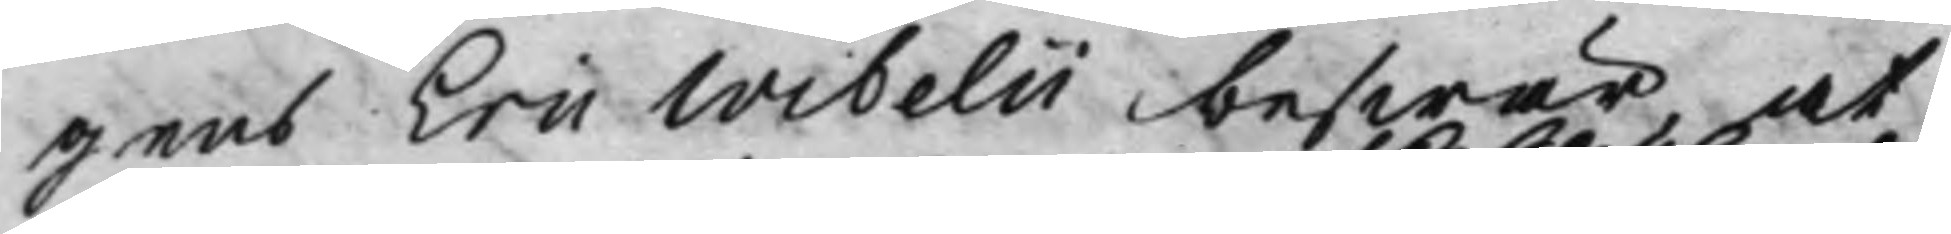gens Eric Wibelii beswär, at 
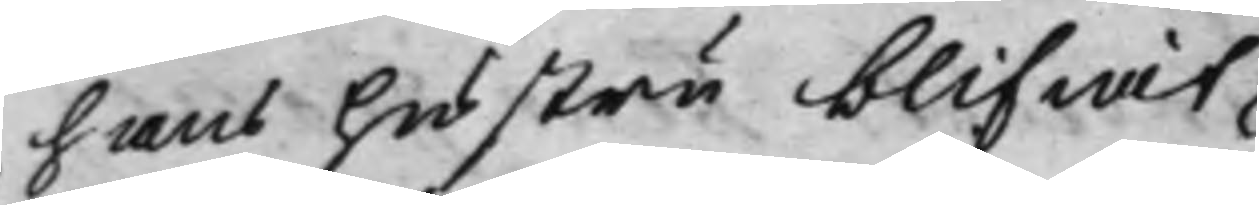hans hustru blifwit 
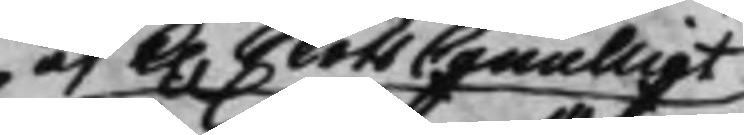af K. SlotsCancelliet
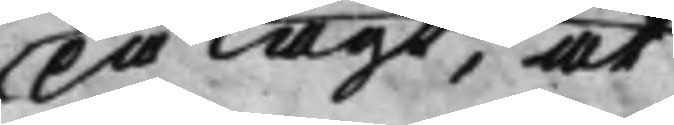pålagt, at 
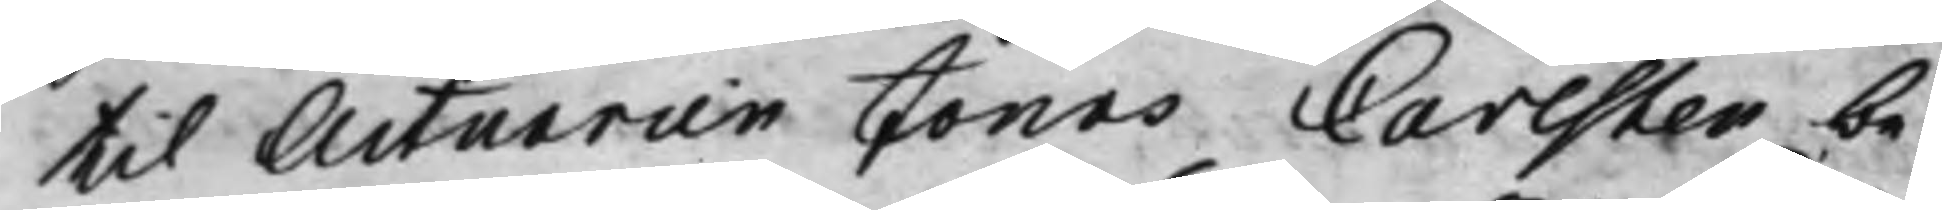til Actuarien Jonas Carlsten be¬
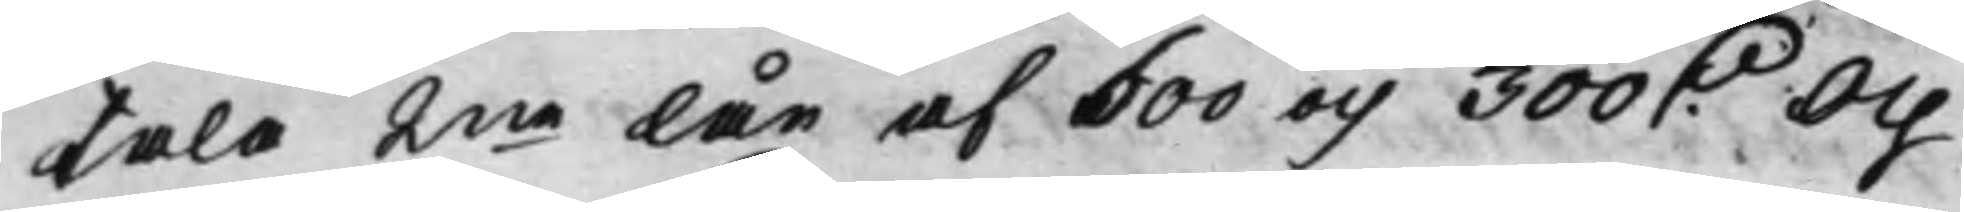tala 2ne lån af 600 och 300 D. Och 
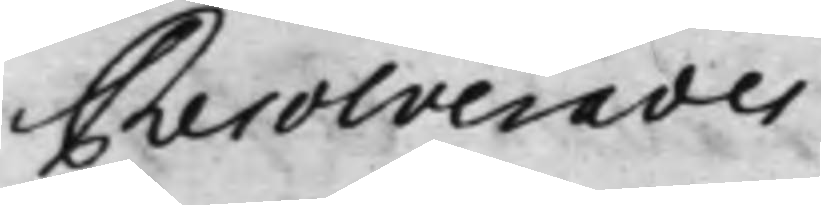Resolverades
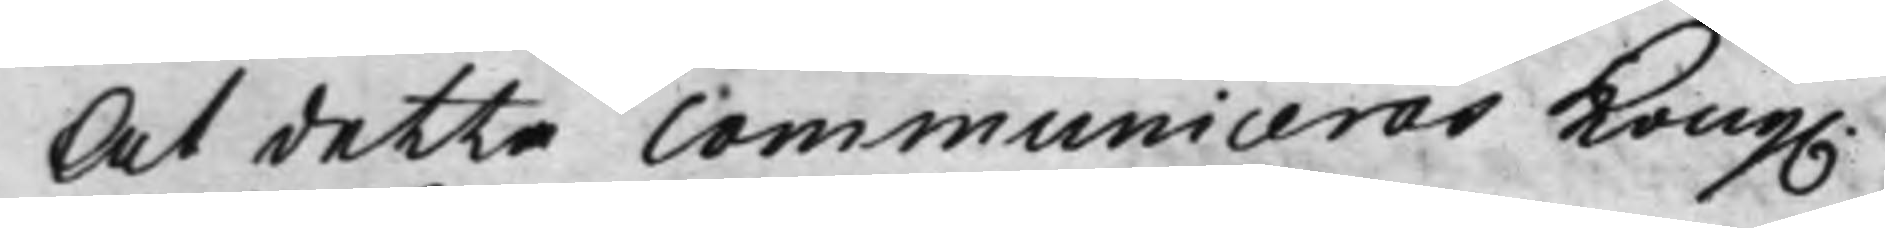At detta Communiceras Kong. 
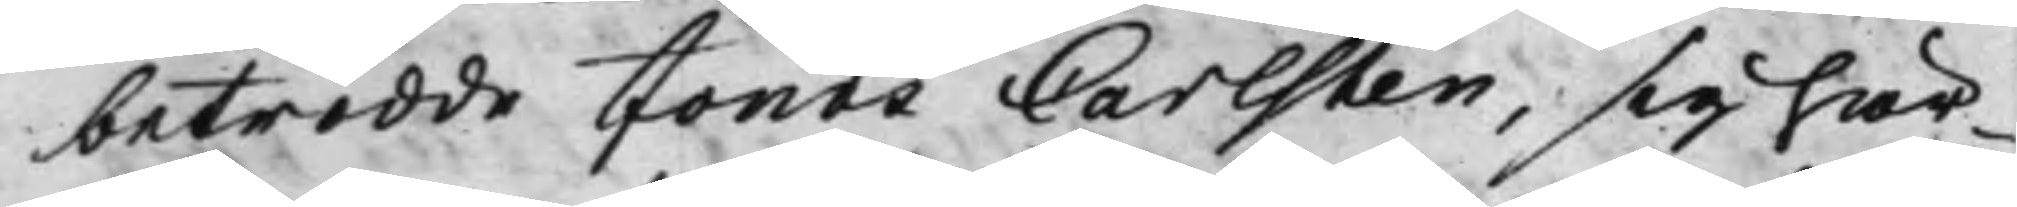betrodde Jonas Carlsten, sig här¬
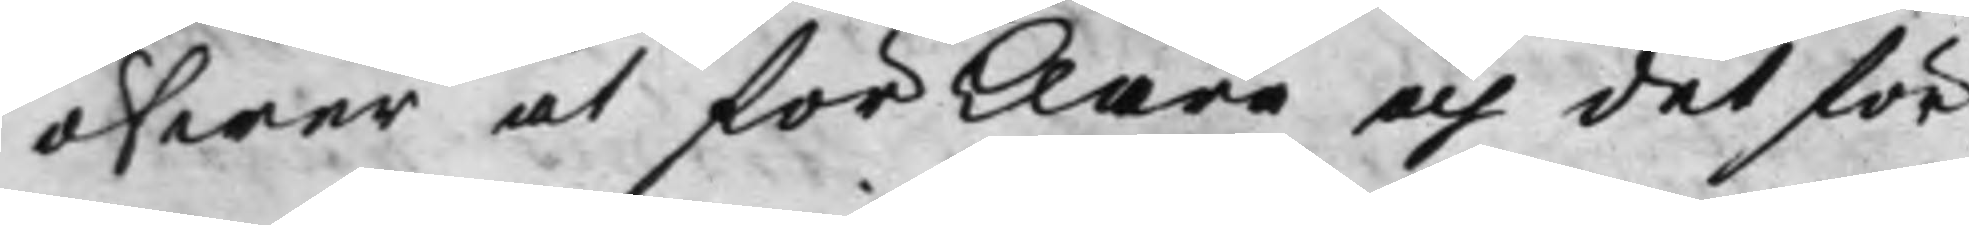öfwer at förklara och det för
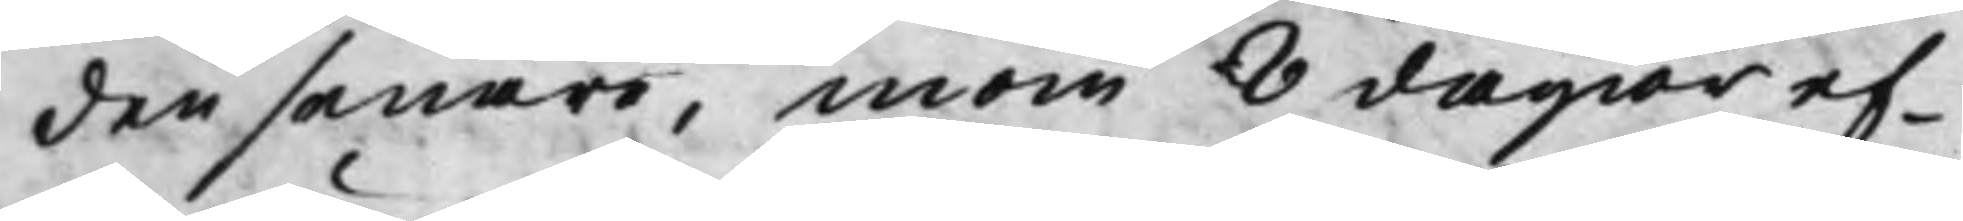den senare, inom 8 dagar ef¬
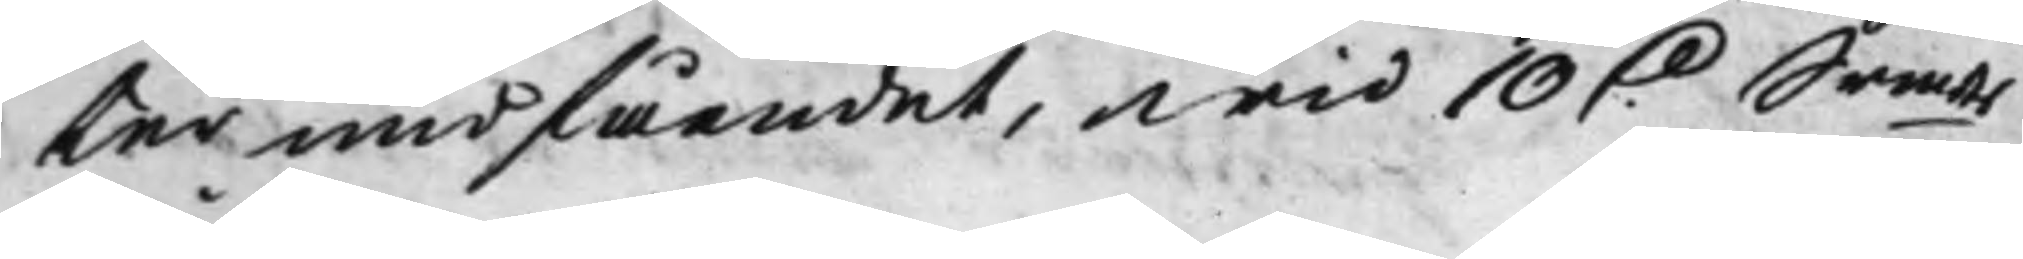ter undfåendet, wid 10 D. Srmts 
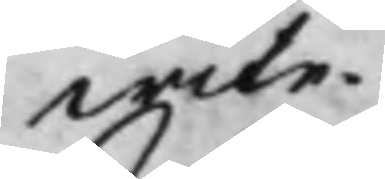wite.
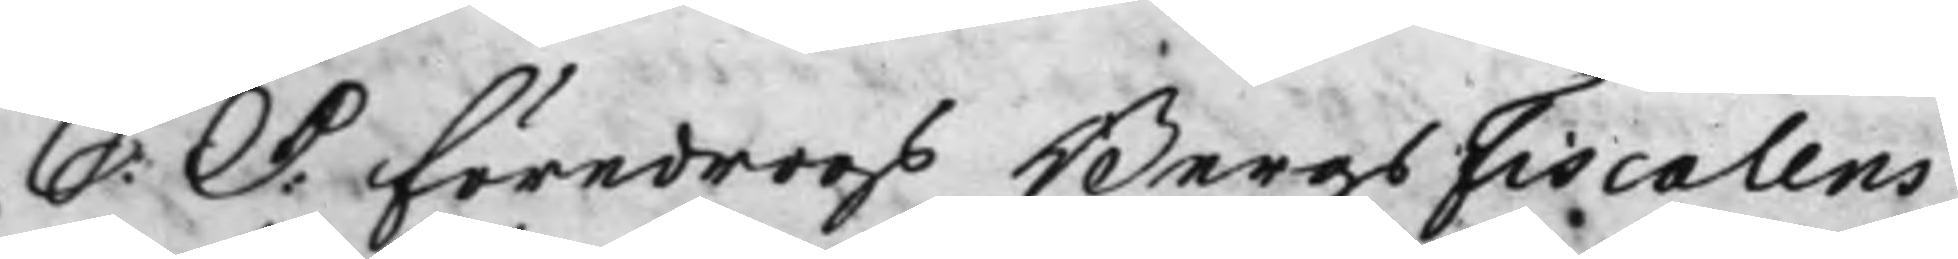S: d: föredrogs BergsFiscalens 
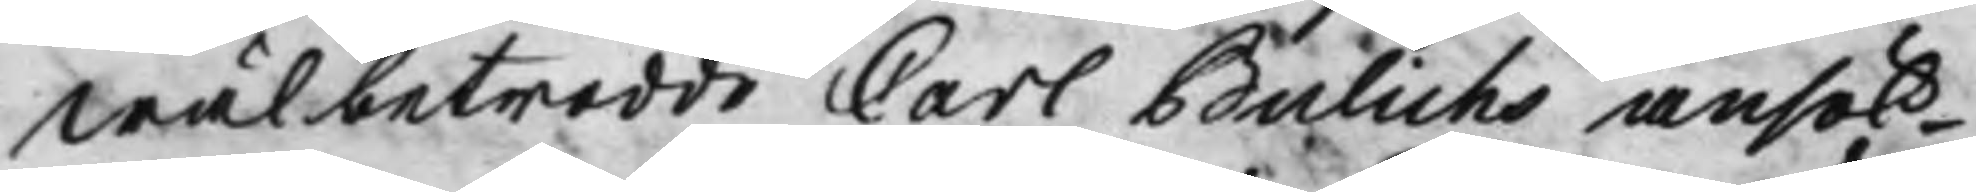Wälbetrodde Carl Bulichs ansök¬
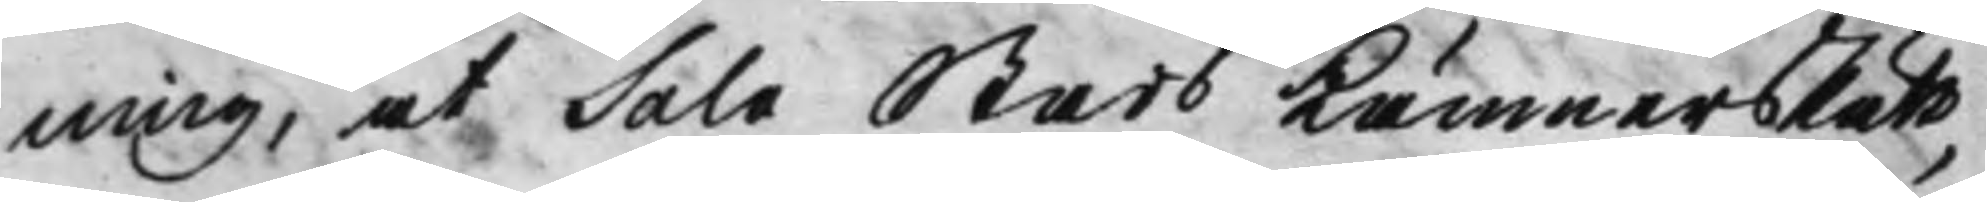ning, at Sala Stads KämnersRätt
